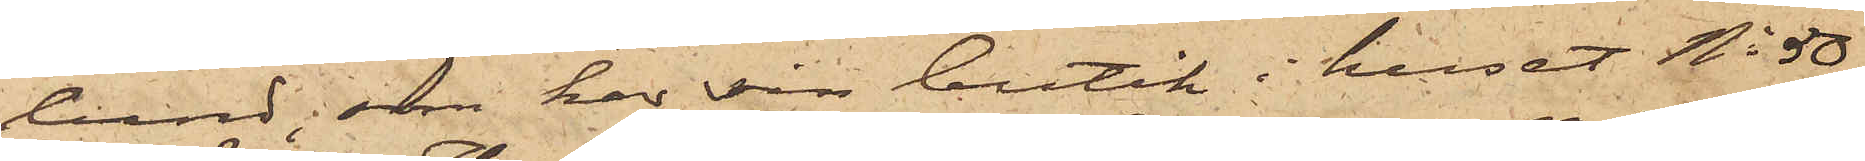lund, som har sin butik i huset No 50
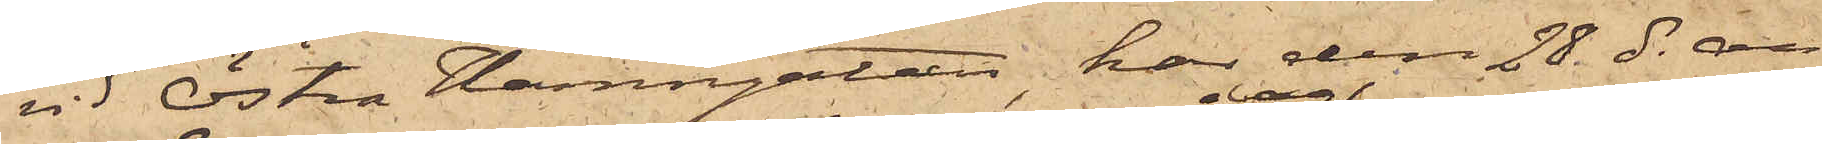vid Östra Hamngatan, har den 28 ds an¬
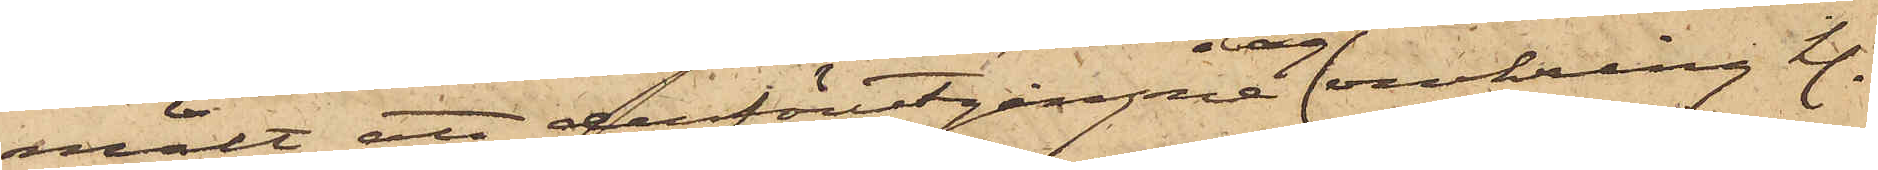mält att derförutgångne dag 
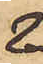omkring kl.
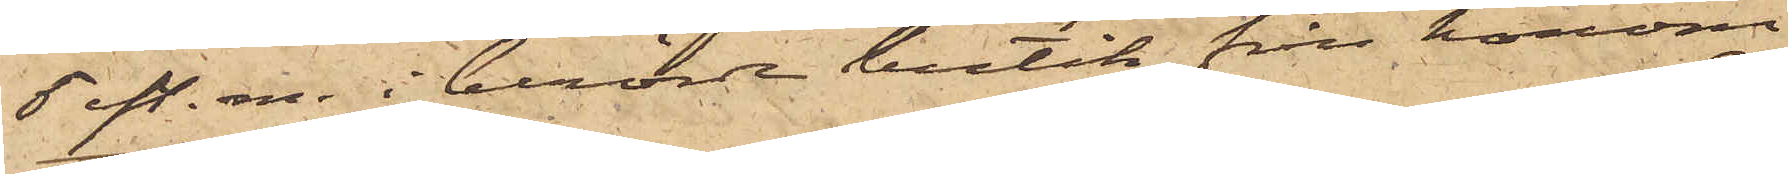5 eft. m. i berörde butik från honom
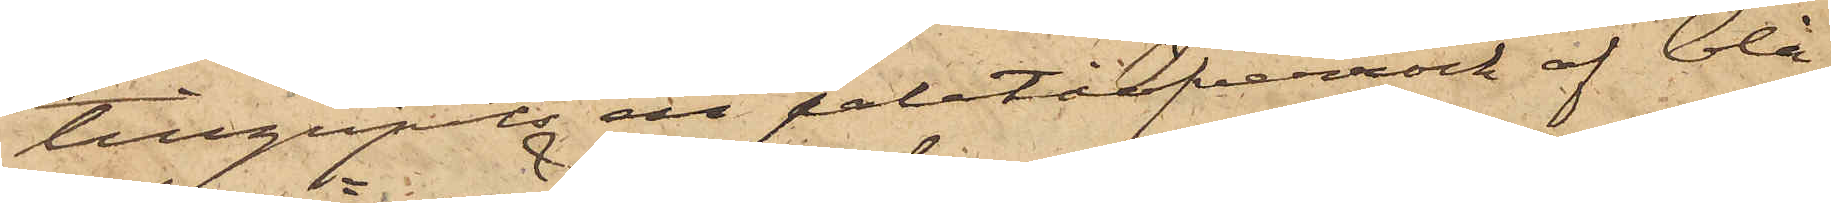tillgripits en paletåöfverrock af blå
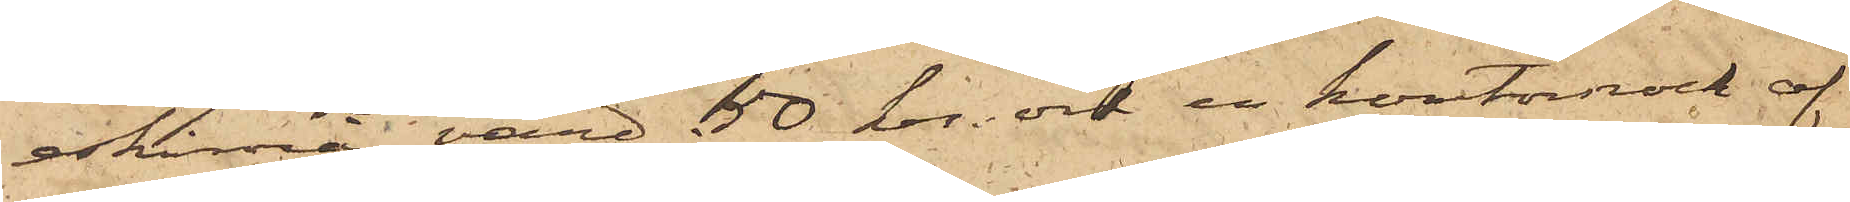eskimå, värd 50 kr. och en kontorsrock af
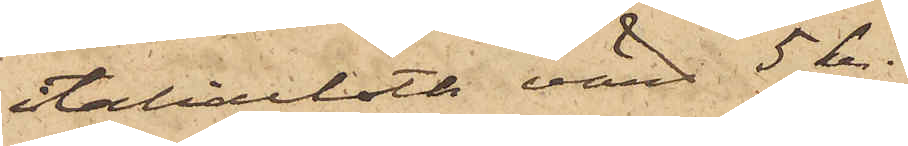Italiacloth, värd 5 kr.
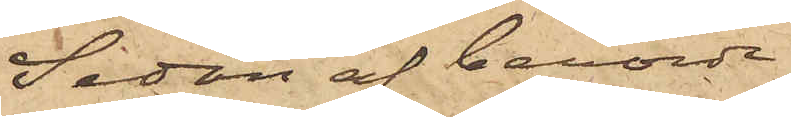Sedan af berörde
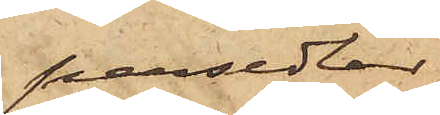persedlar
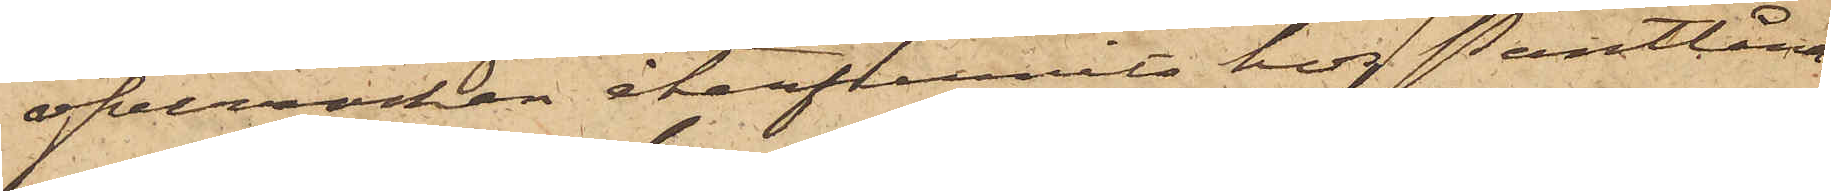öfverrocken återfunnits hos Pantlåna¬
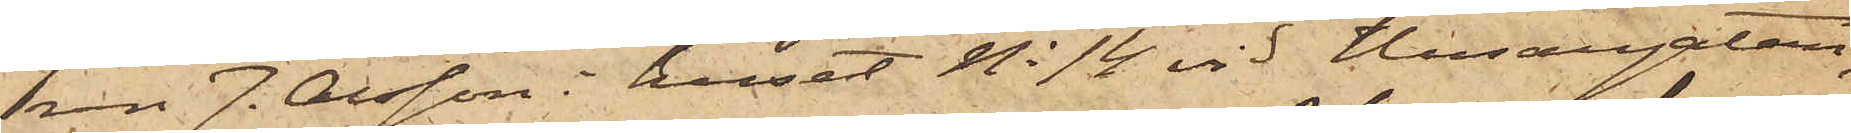ren J. Olsson i huset No 14 vid Husargatan,
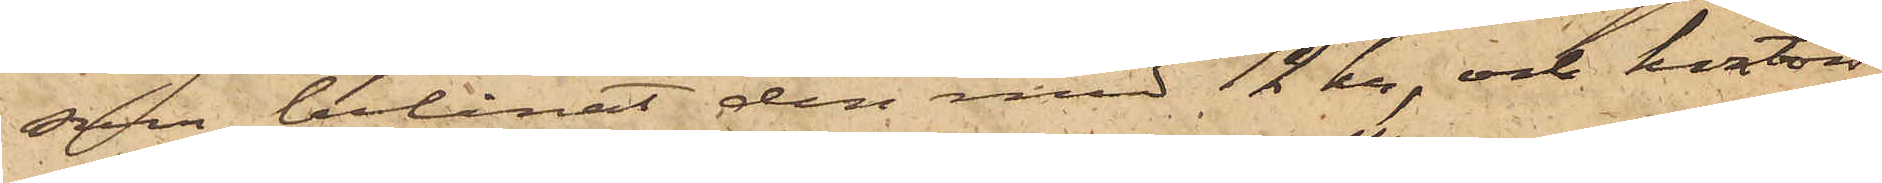som belånat den med 12 kr, och kontors¬
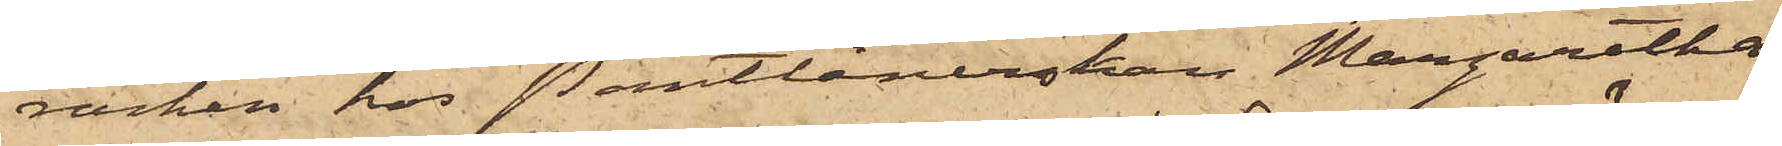rocken hos Pantlånerskan Margaretha
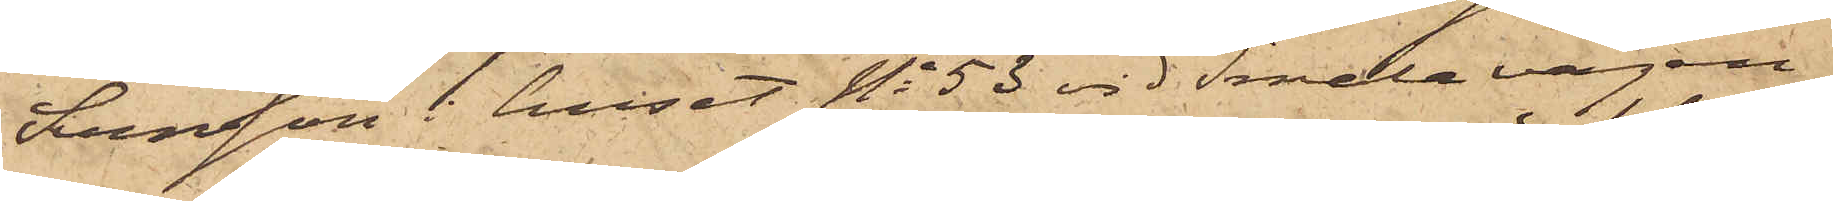Svensson i huset No 53 vid Smala vägen,
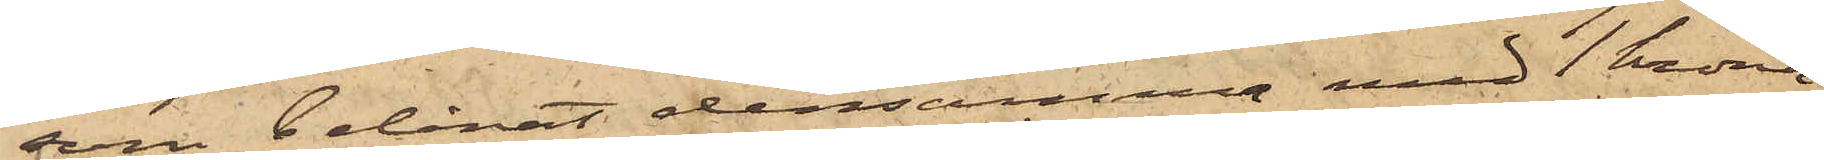som belånat densamma med 1 Krona,
